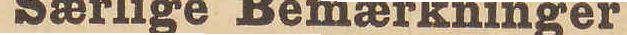Særlige Bemærkninger
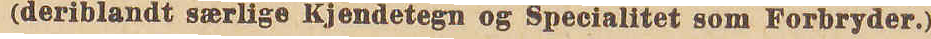(deriblandt særlige Kjendetegn og Specialitet som Forbryder.)
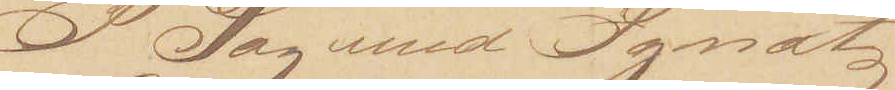I Lag med Ignatz
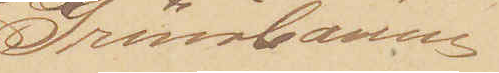Grünbaum.
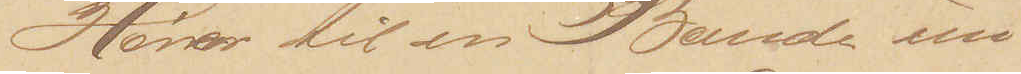Hører til en Bande un¬
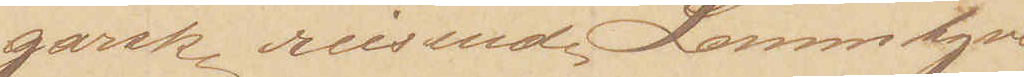garske reisende Lommetyve,
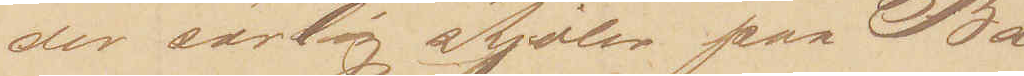der særlig stjæler paa Ba¬
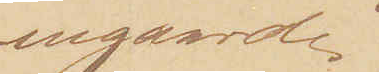negaarde.
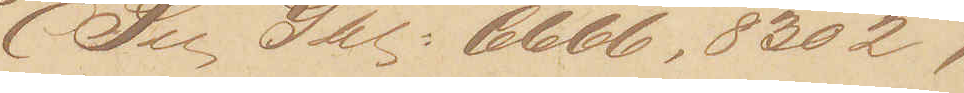(See Gbl: 6666, 8302,
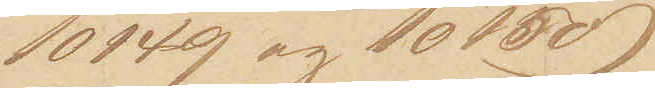10149 og 10150)
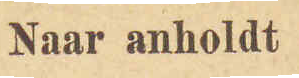Naar anholdt
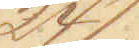24/
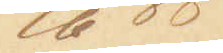6 88
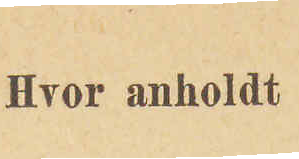Hvor anholdt
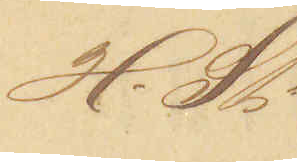H.St.
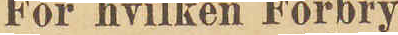For hvilken Forbry¬
